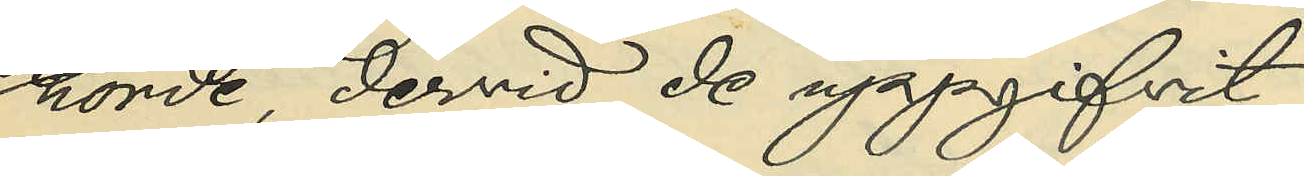hörde, dervid de uppgifvit:
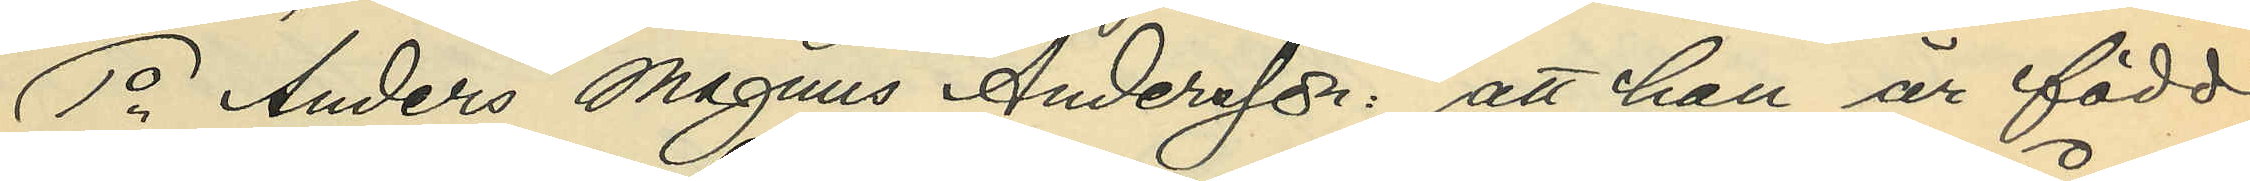1o Anders Magnus Andersson: att han är född
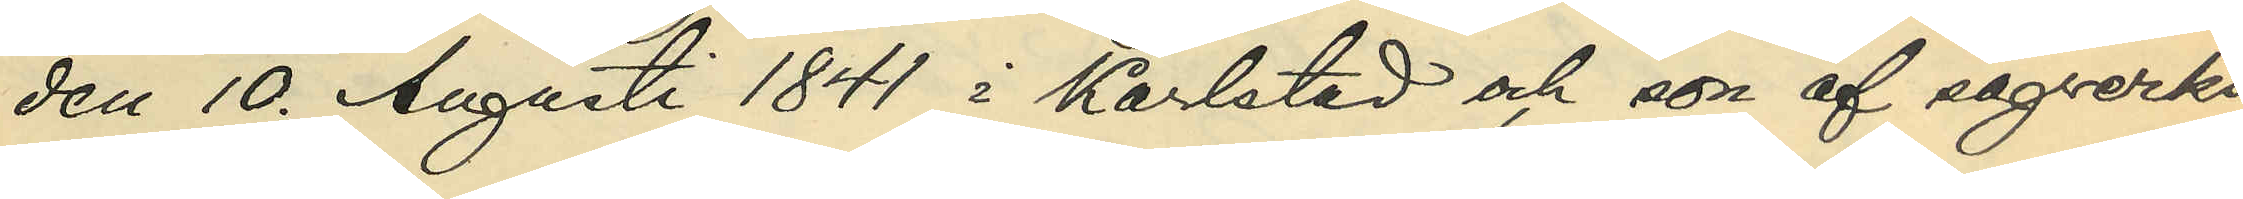den 10. Augusti 1841 i Karlstad och son af sågverks¬
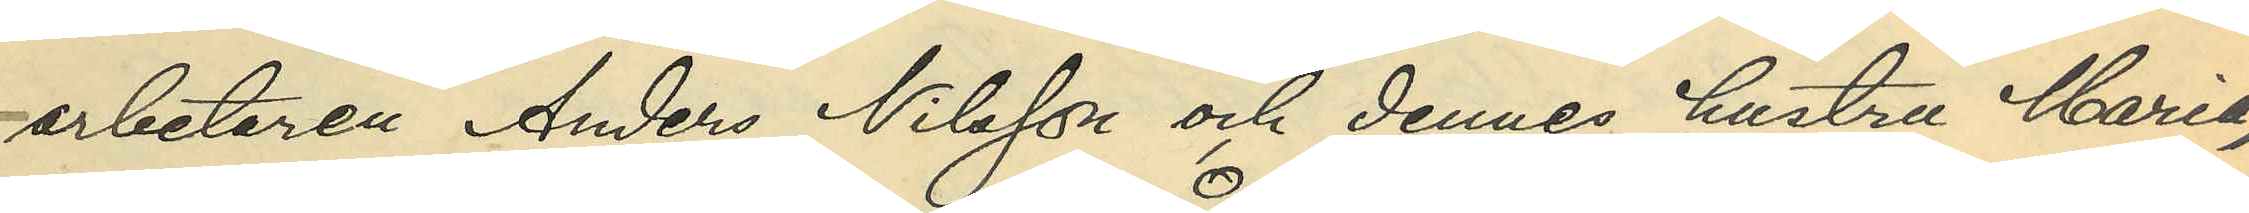arbetaren Anders Nilsson och dennes hustru Maria,
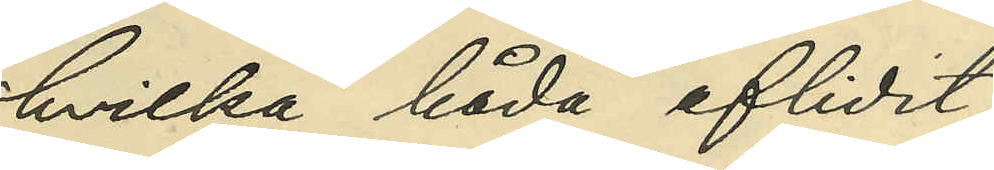hvilka båda aflidit;
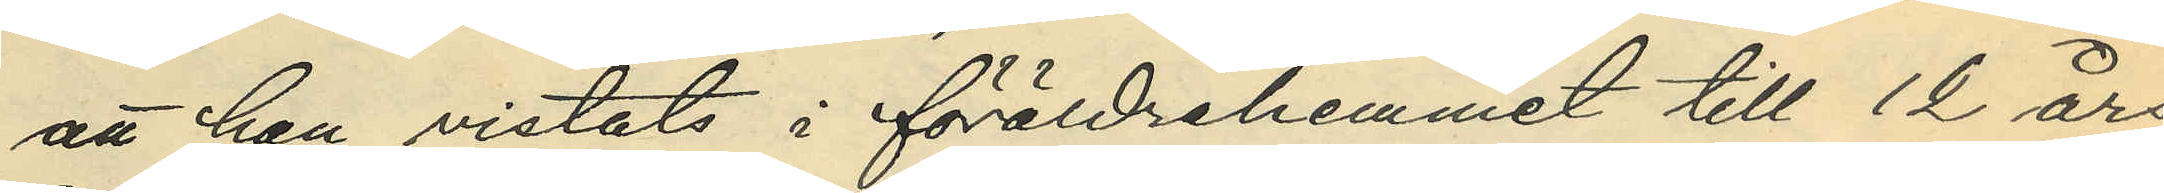att han vistats i föräldrahemmet till 12 års
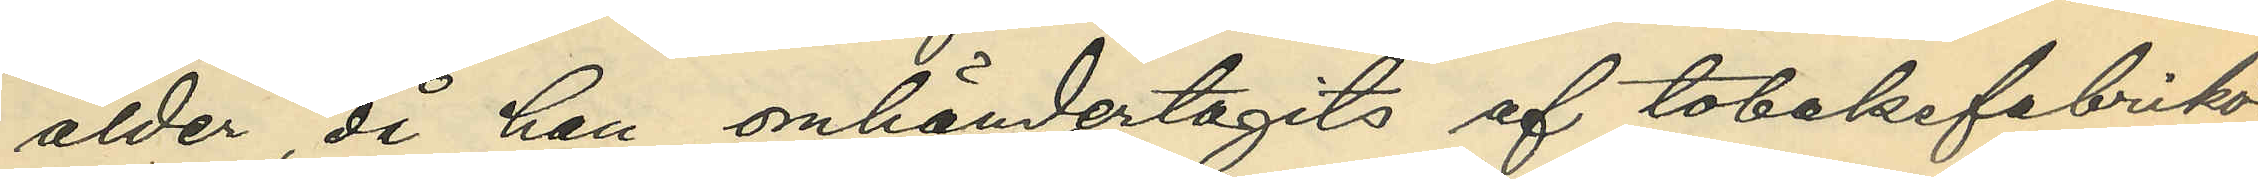ålder, då han omhändertagits af tobaksfabrikö¬
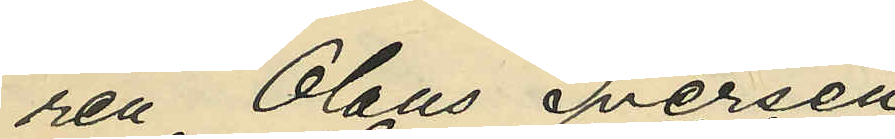ren Olaus Iversen
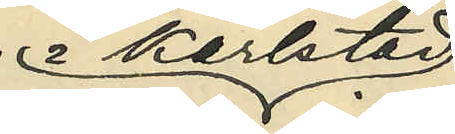i Karlstad
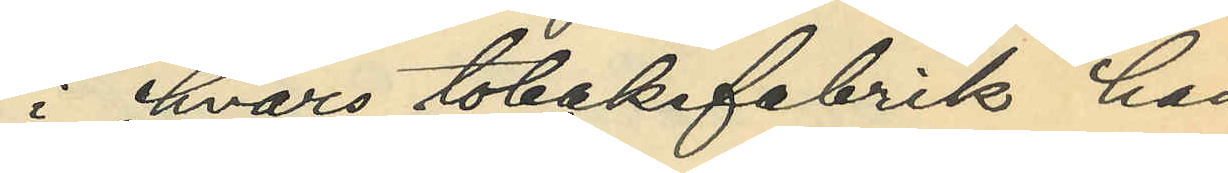i hvars tobaksfabrik han,
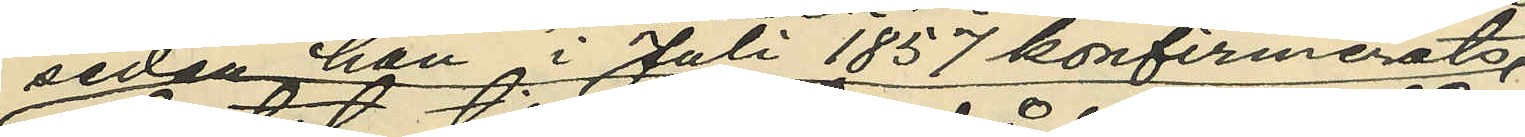sedan i Juli 1857 konfirmerats,
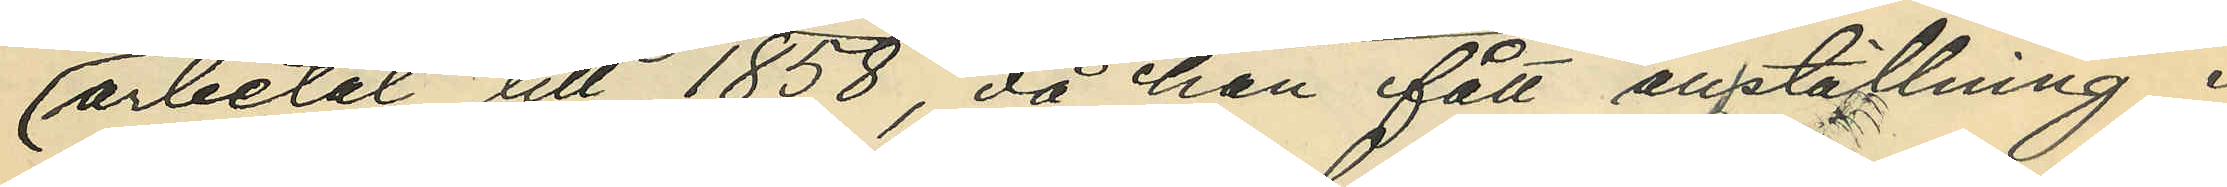arbetat till 1858, då han fått anställning i
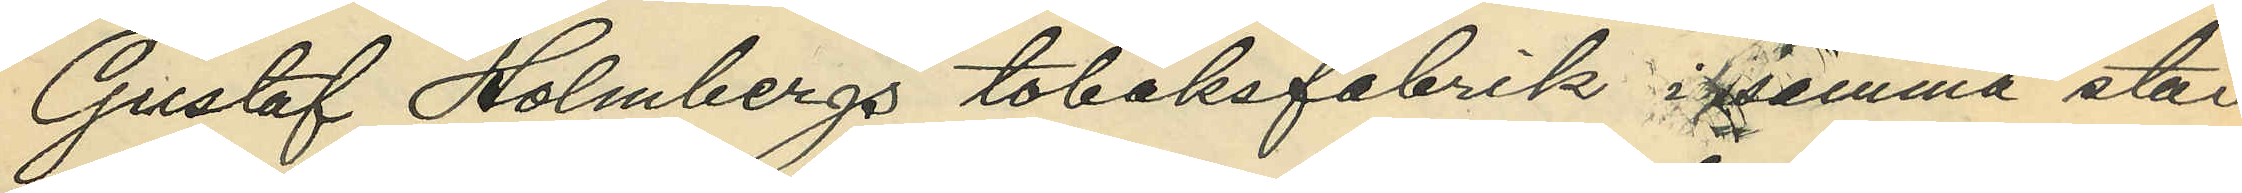Gustaf Holmbergs tobaksfabrik i samma stad
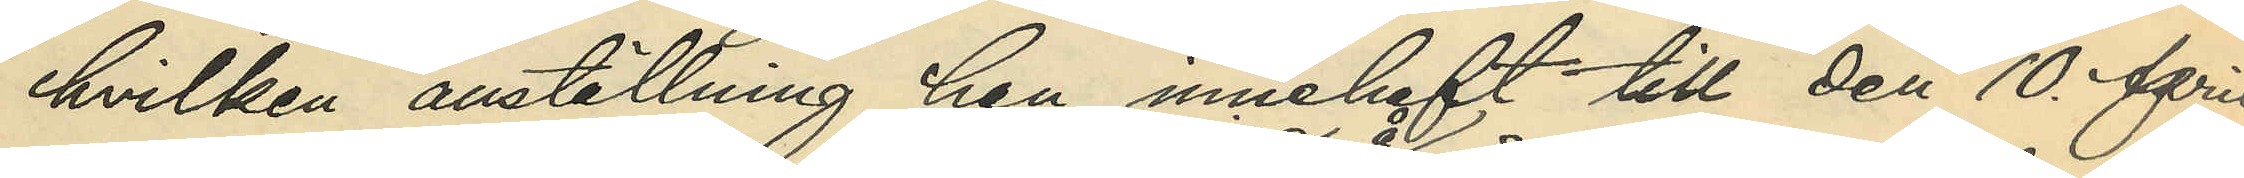hvilken anställning han innehaft till den 10. April
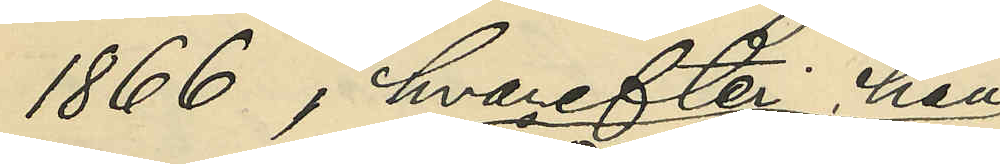1866, hvarefter han
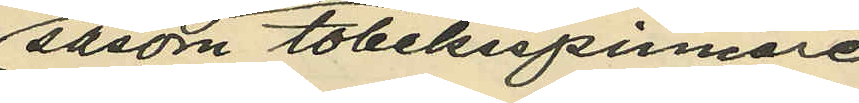såsom tobaksspinnare
